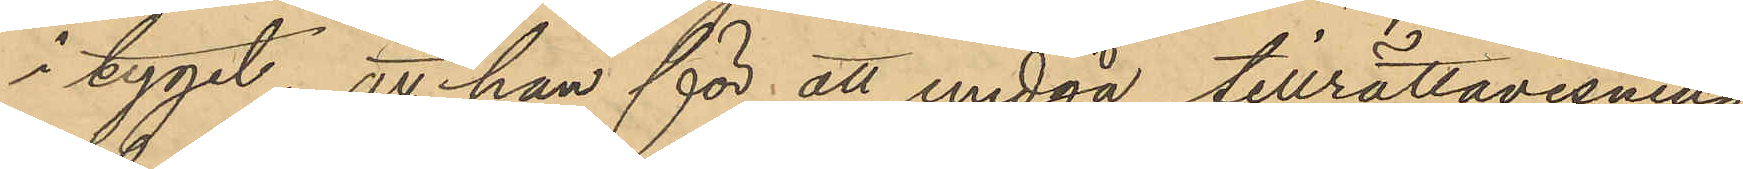i tyget; att hon för att undgå tillrättavisning
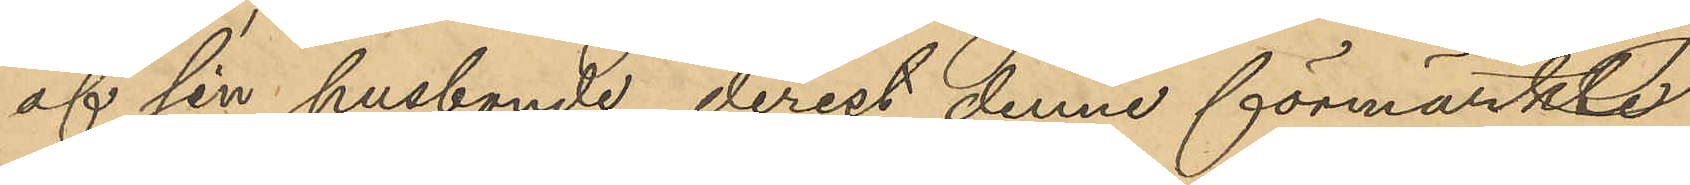af sin husbonde, derest denne förmärkte
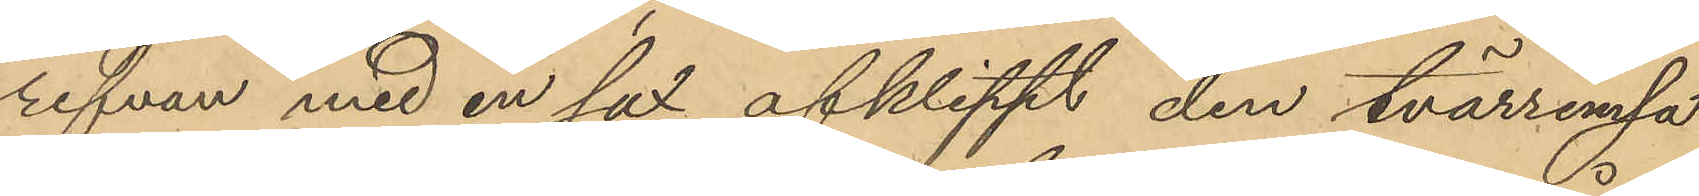refvan med en sax afklippt den tvärremsa
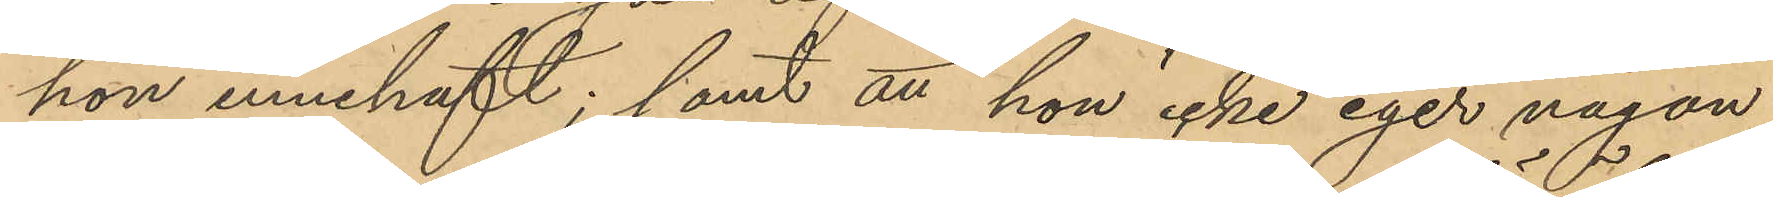hon innehaft; samt att hon icke eger någon
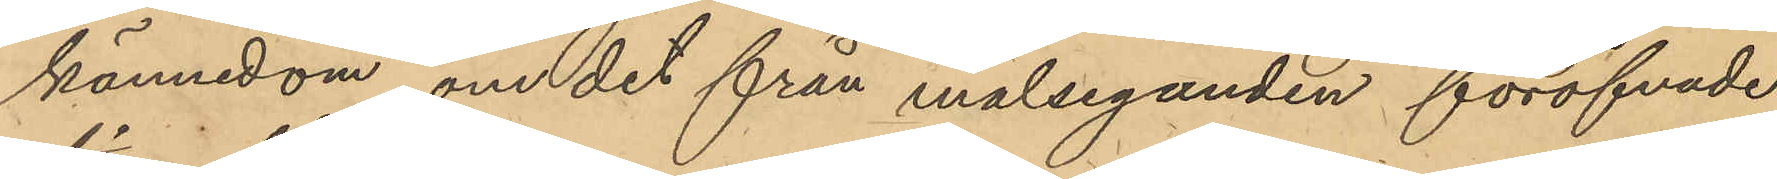kännedom om det från målseganden föröfvade
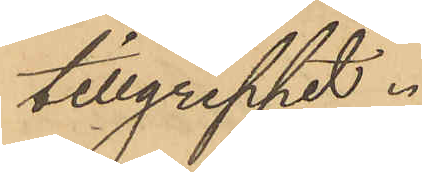tillgreppet.
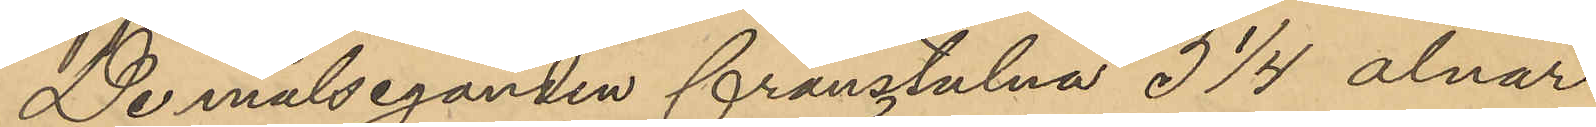De målseganden frånstulna 3 1/4 alnar
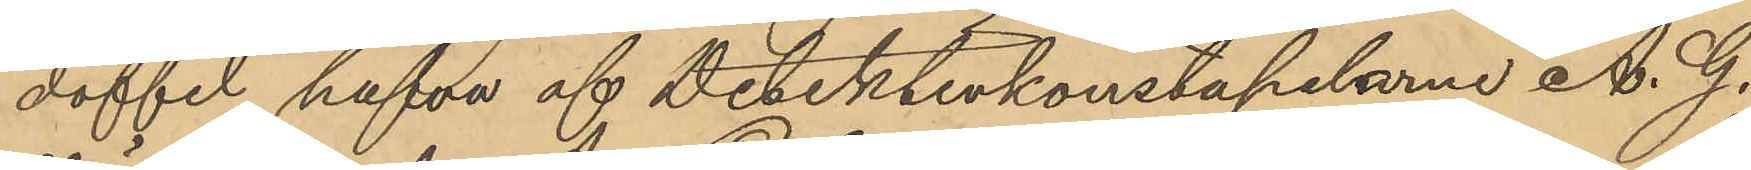doffel hafva af Detektivkonstapelarne A. G.
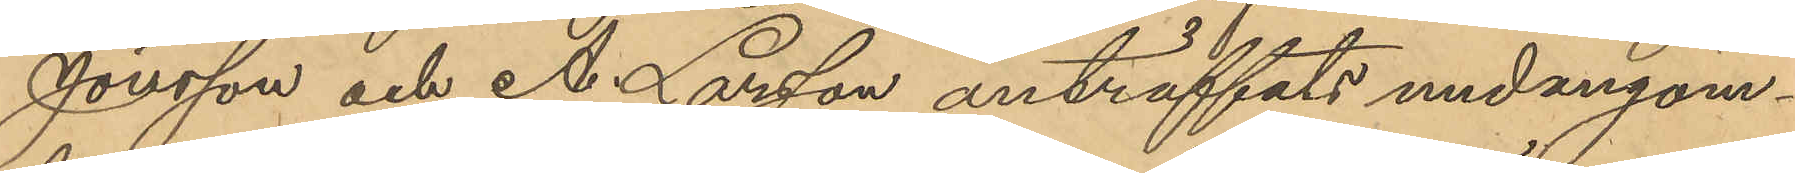Jonsson och A. Larsson anträffats undangöm¬
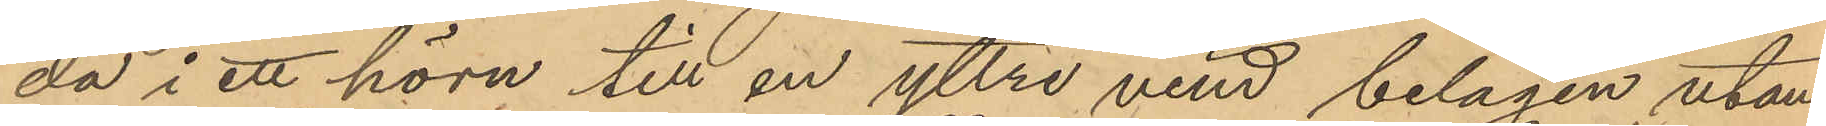da i ett hörn till en yttre vind belägen utan¬
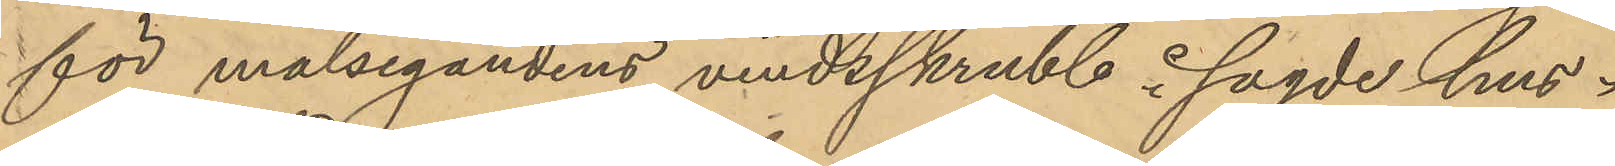för målsegandens vindsskrubb i sagde hus.
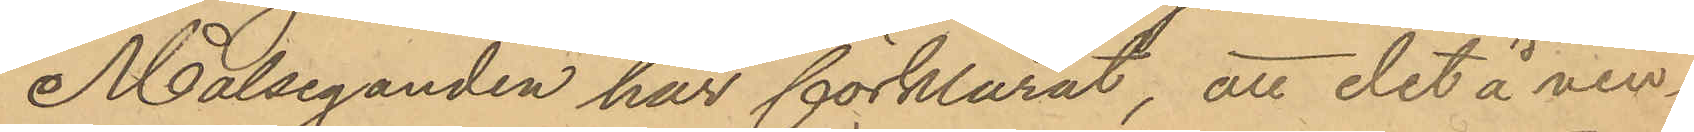Målseganden har förklarat, att det å vin¬
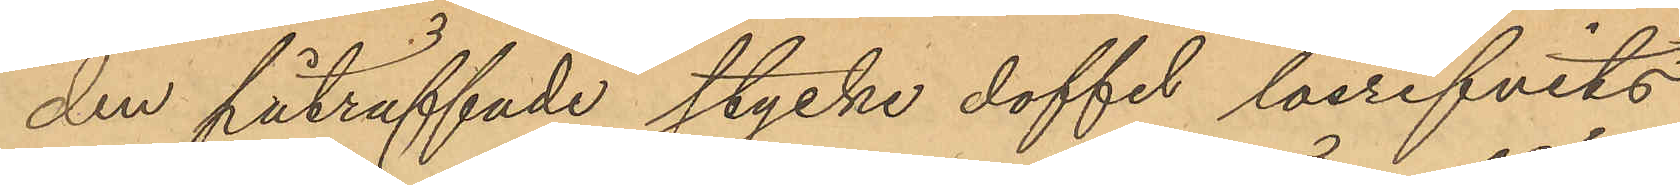den påträffade stycke doffel lösrifvits
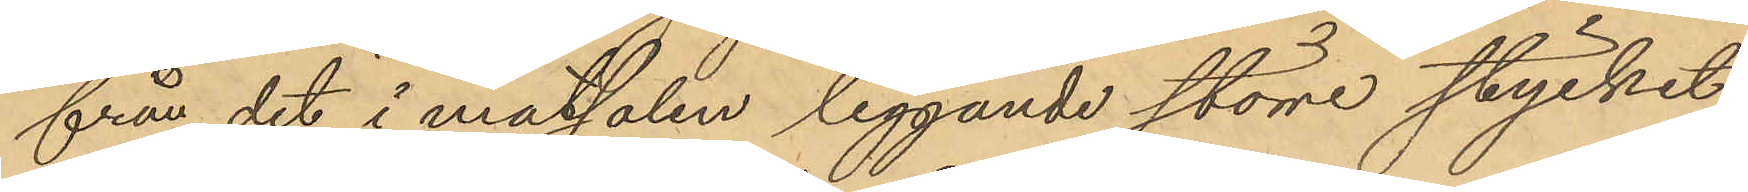från det i matsalen liggande större stycket
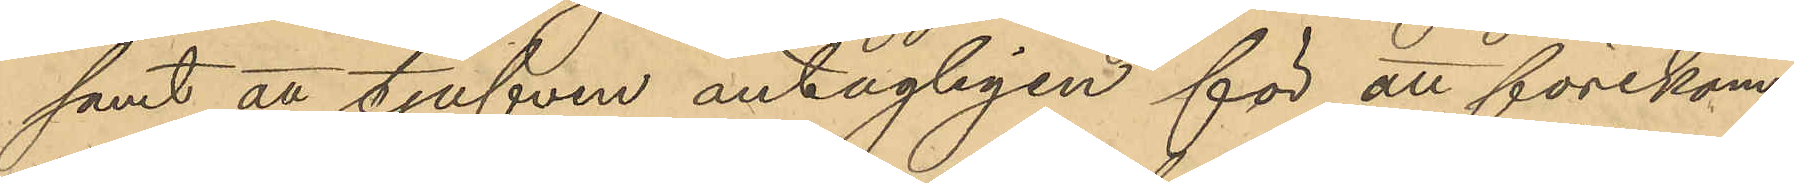samt att tjufven antagligen för att förekom¬
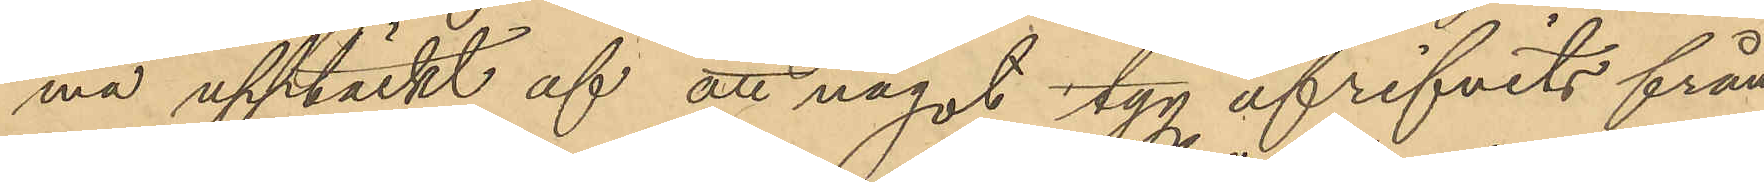ma upptäckt af att något tyg afrifvits från
